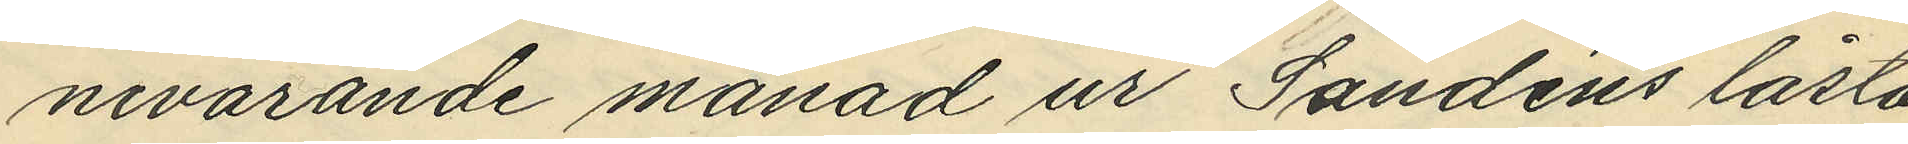nevarande månad ur Sandéns låsta
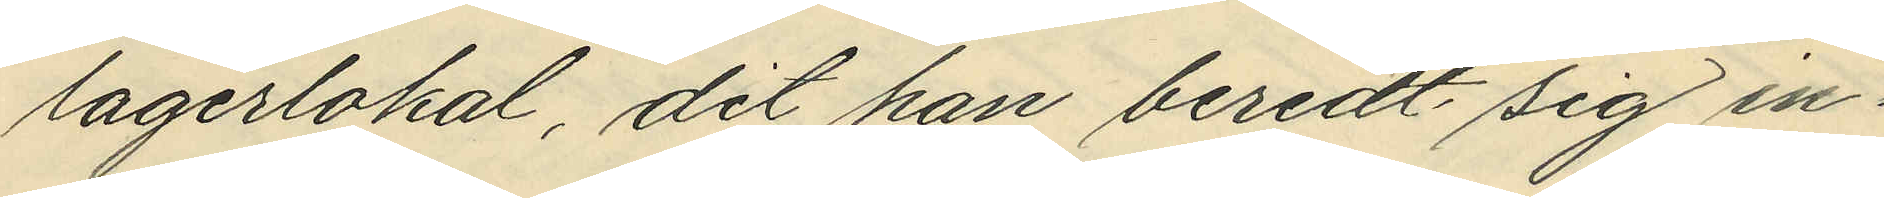lagerlokal, dit han beredt sig in¬
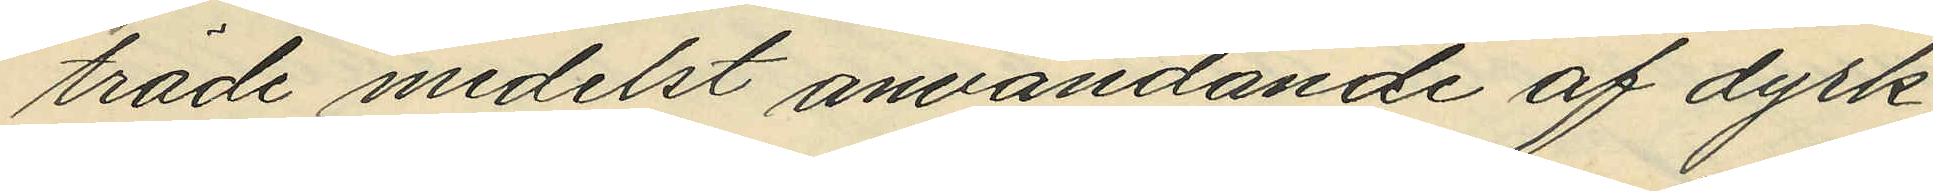träde medelst användande af dyrk
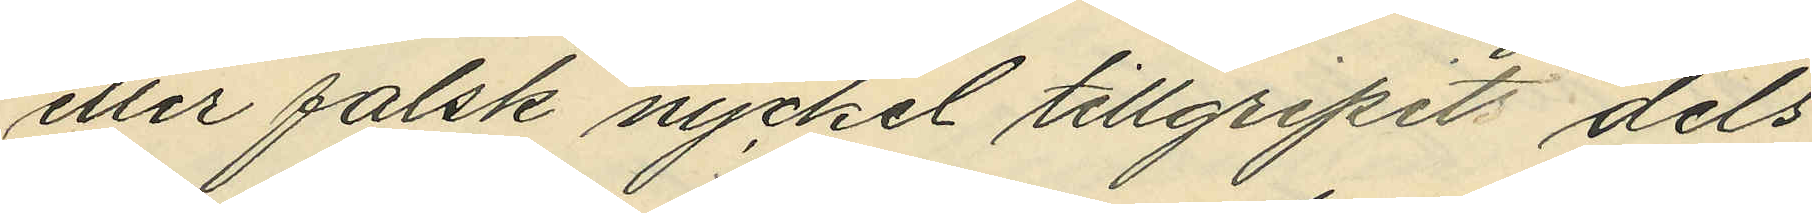eller falsk nyckel tillgripit dels
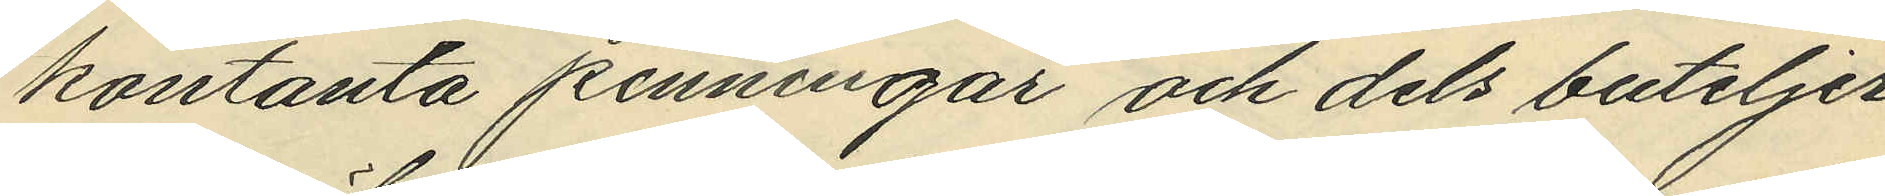kontanta penningar och dels buteljer
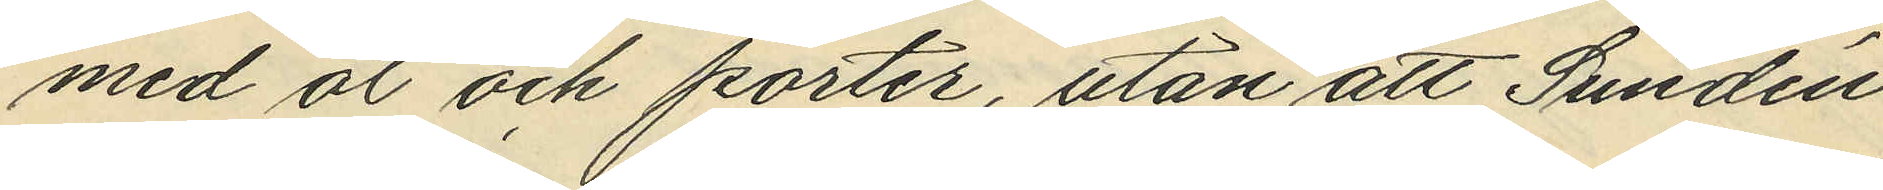med öl och porter, utan att Sundén
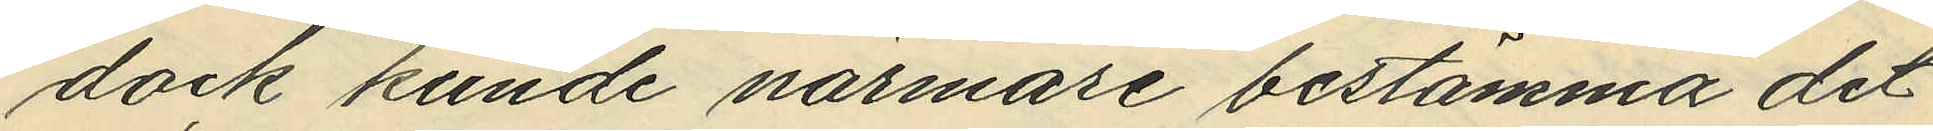dock kunde närmare bestämma det
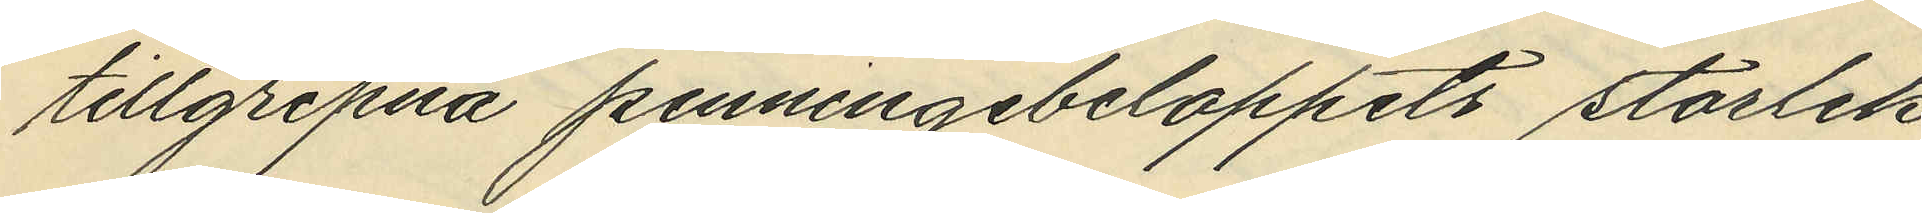tillgripna penningebeloppets storlek
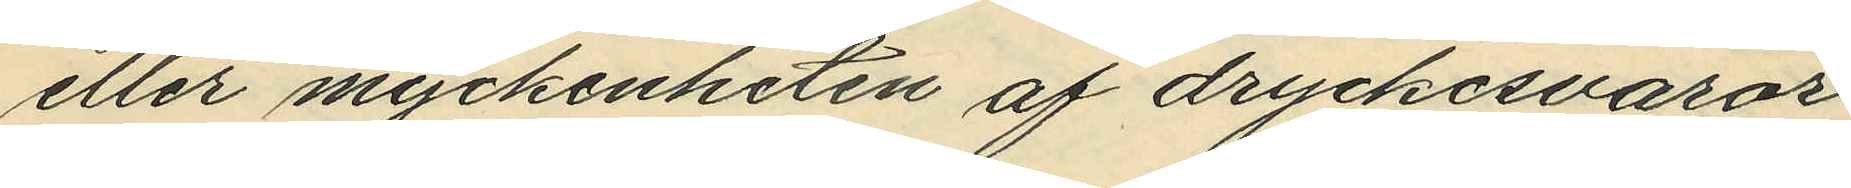eller myckenheten af dryckesvaror.
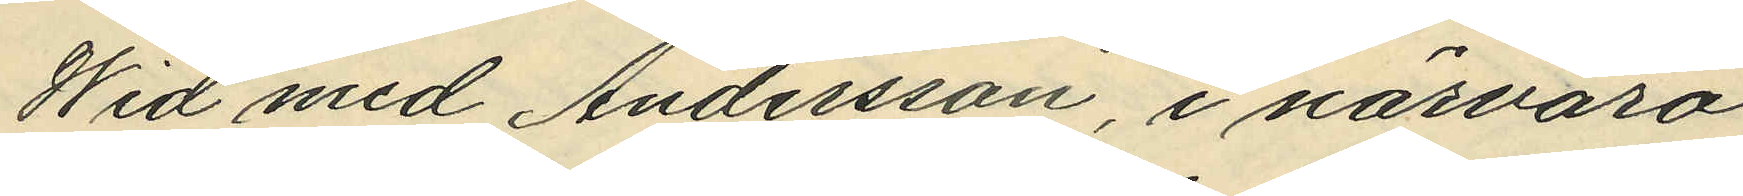Wid med Andersson, i närvaro
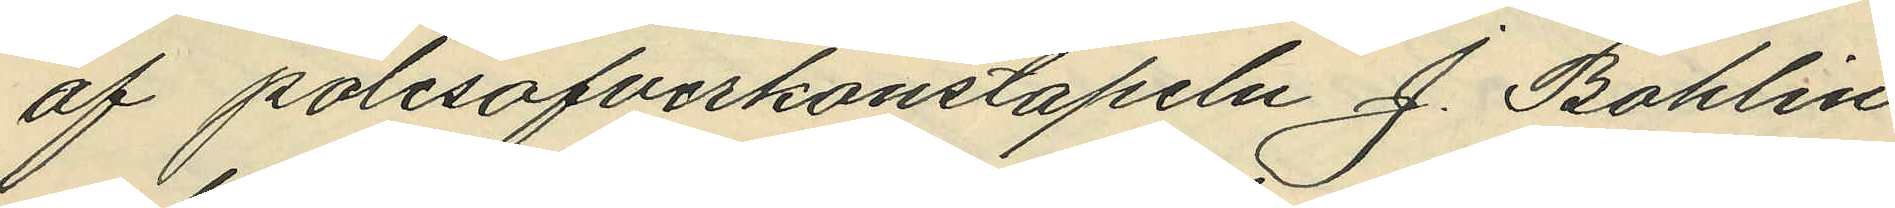af polisöfverkonstapeln J. Bohlin
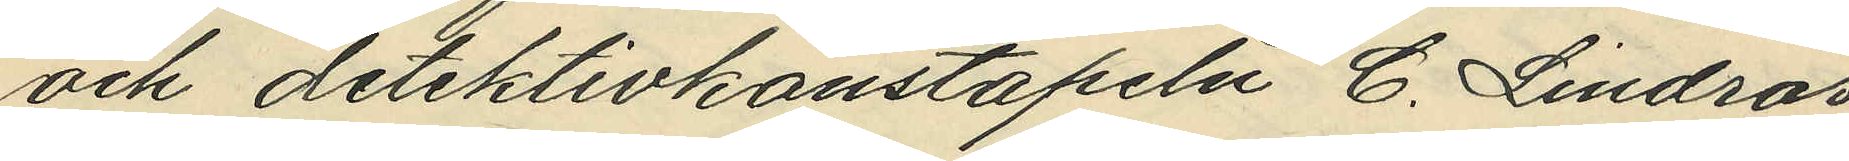och detektivkonstapeln C. Lindros
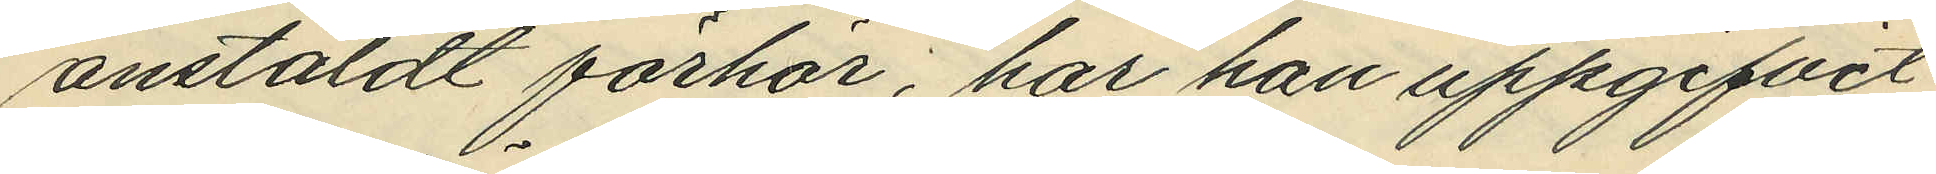anstäldt förhör, har han uppgifvit
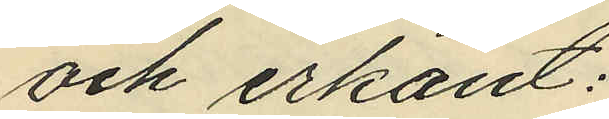och erkänt:
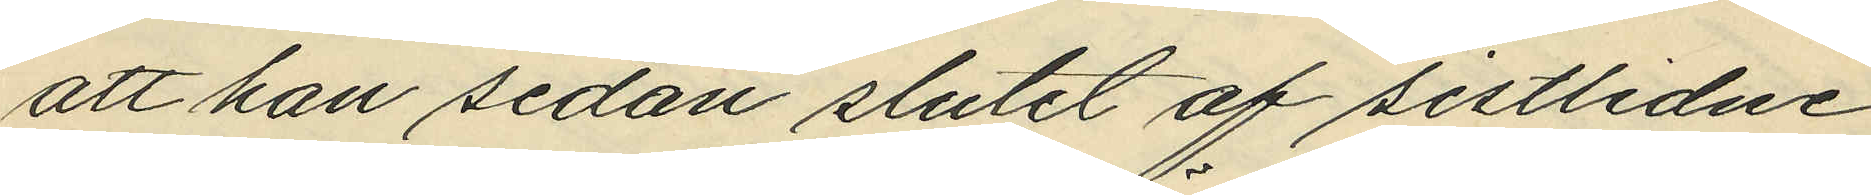att han sedan slutet af sistlidne
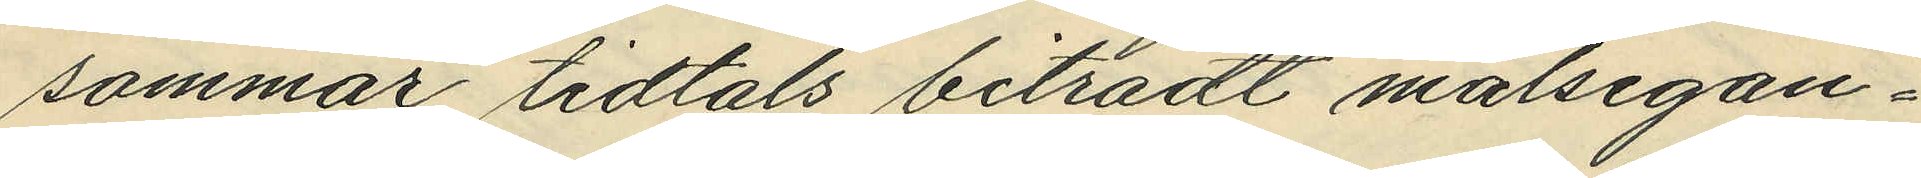sommar tidtals biträdt målsegan¬
